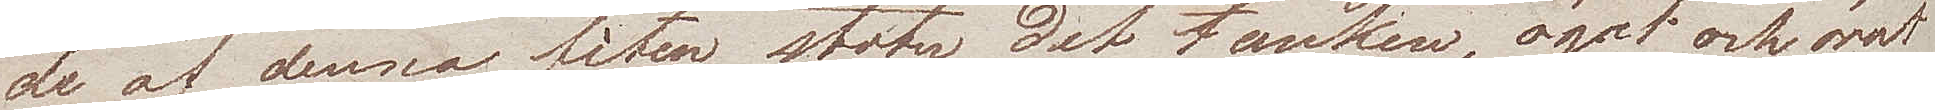det af denna fêten, stöter det  tanken, ögat och örat
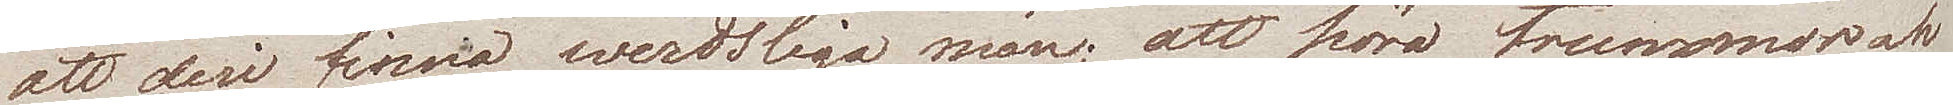att deri finna werdsliga män, att höra trummor och
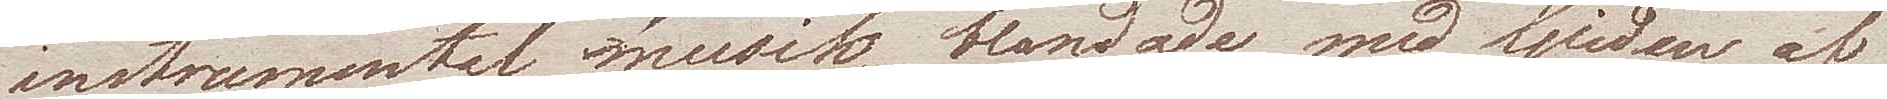instrumental musik, blandade med ljuden af
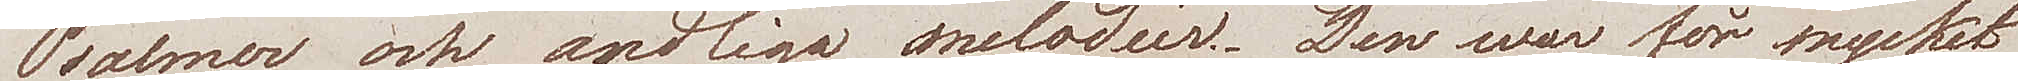Psalmer och andliga melodier. Den war för mycket
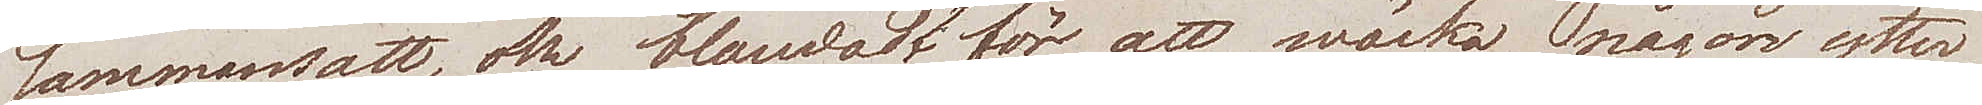sammansatt, och blandadt för att wäcka någon ytter¬
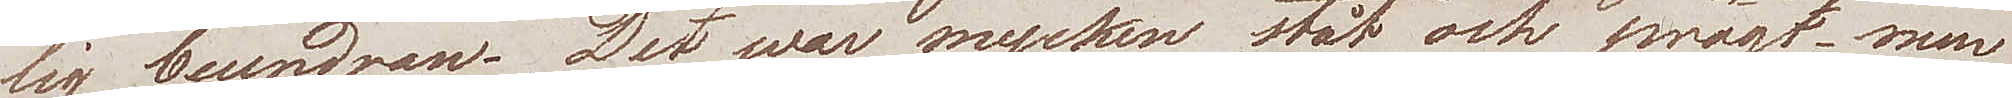lig beundran. Det war mycket ståt och pragt, men
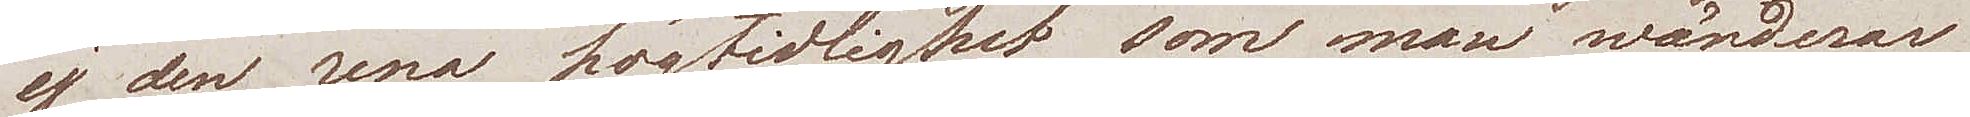ej den rena högtidlighet som man wärderar
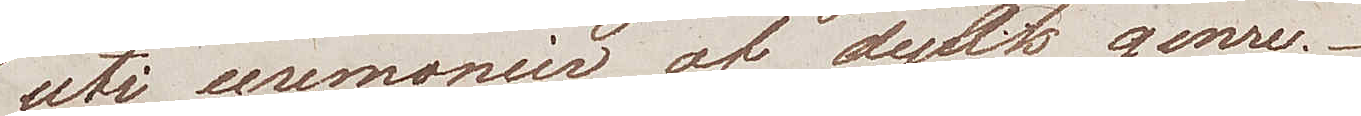uti ceremonier af dylik genre.
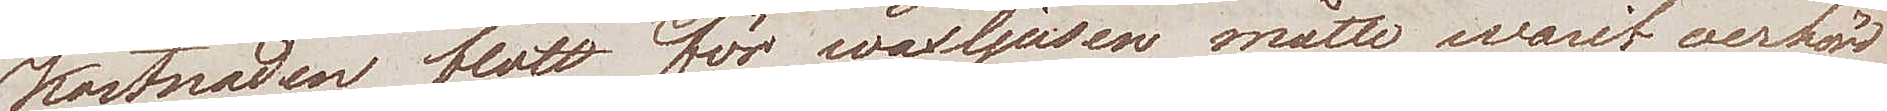Kostnaden blott för waxljusen måtte warit oerhörd
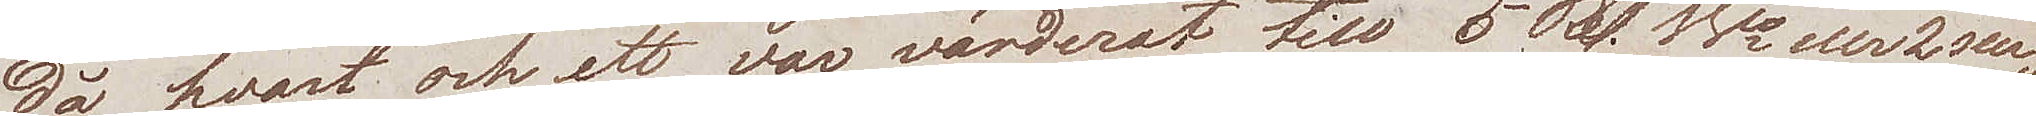då hvart och ett, var värderat till 5 Rd. Bco eller 2 scu¬
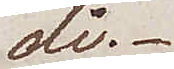di.
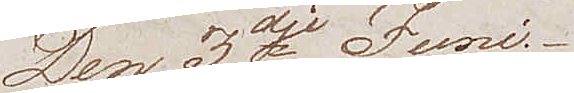Den 3dje Juni
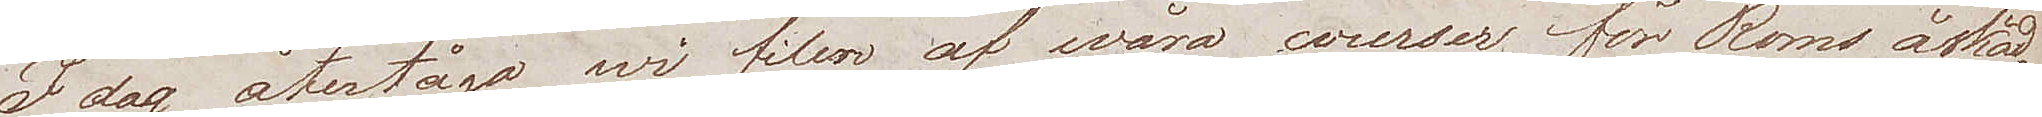I dag återsågo wi filen af wåra courser för Roms åskåd¬
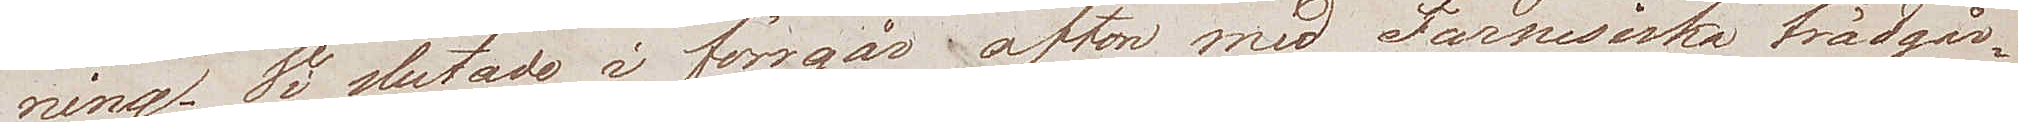ning. Vi slutade i förrgår afton med Farnesiska trädgår¬
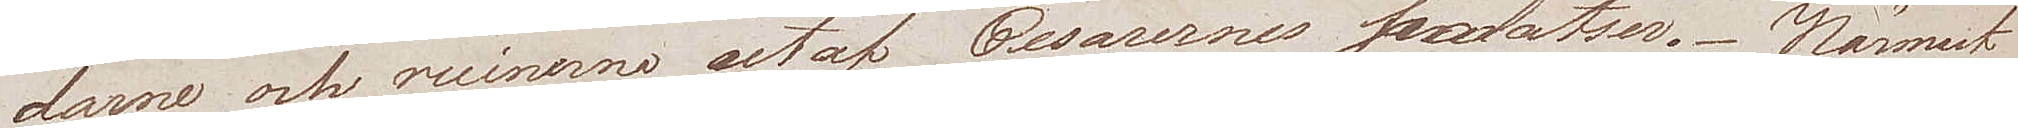darne och ruinerna utaf Cesarernes palatser. Närmast
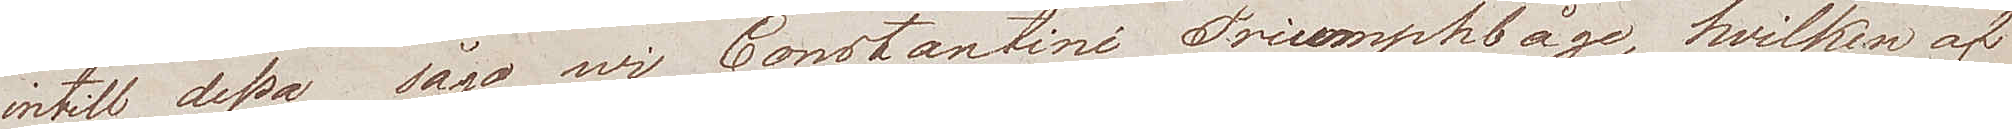intill dessa sågo wi Constantini Triumphbåge, hvilken af
